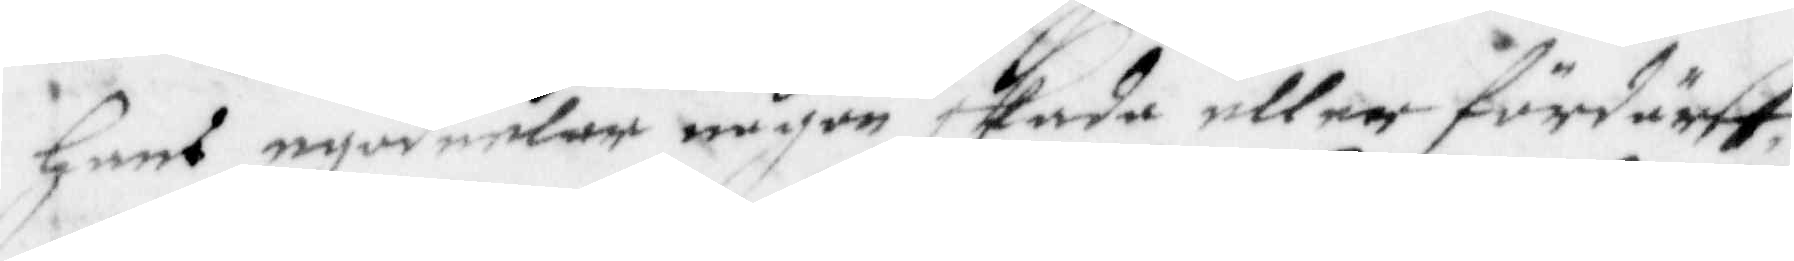hans egodeelar någon skada eller fördärff,
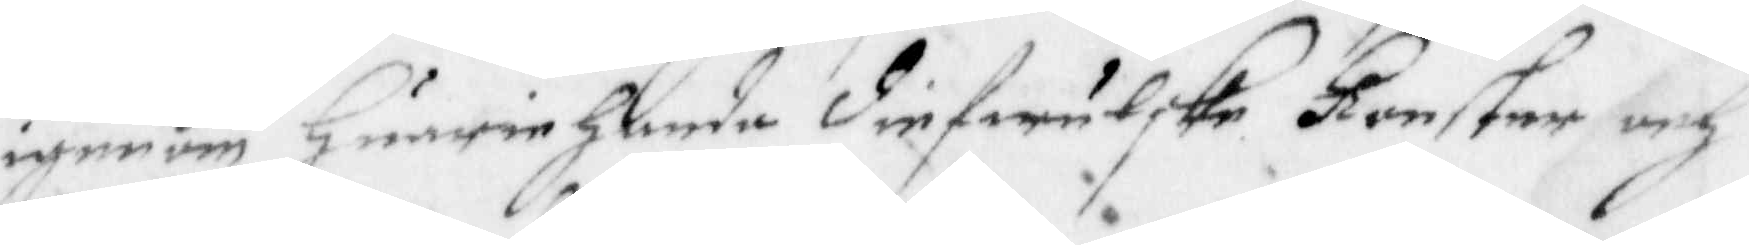igenom huariehanda diefwulske konster och
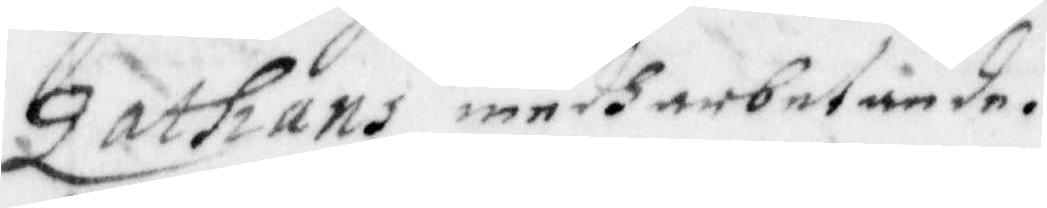Zathans medharbetande.
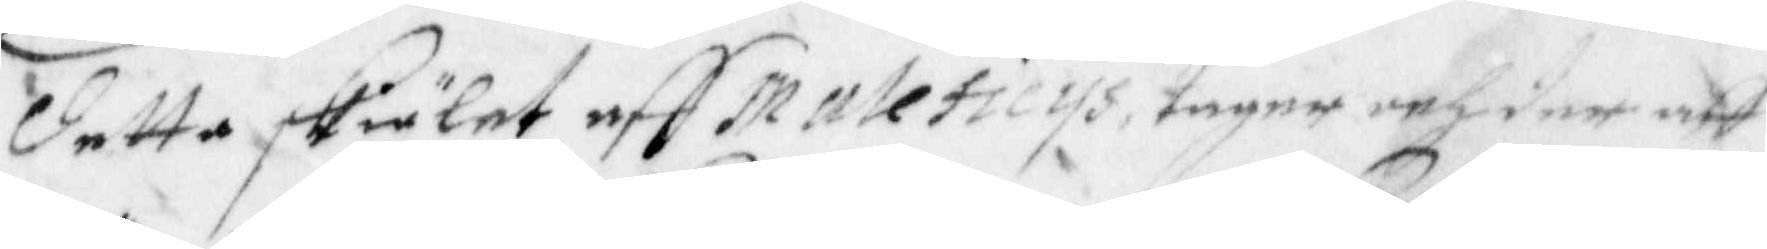detta skiälet aff maleficys, tager och der aff
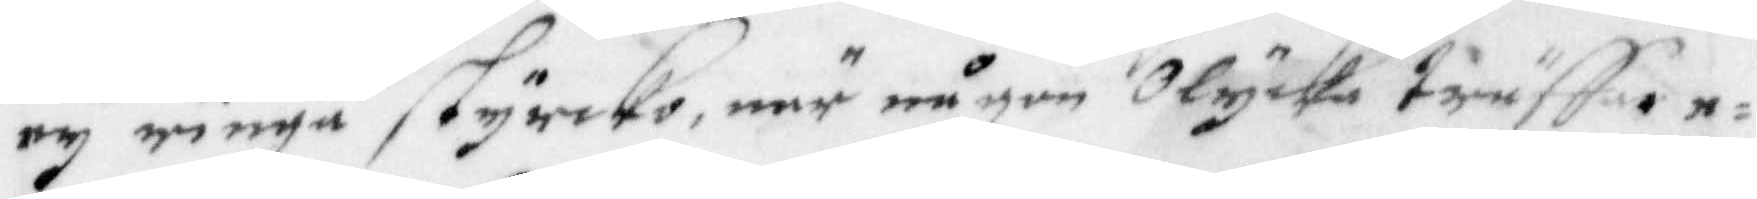ey ringa styrcko, när någon olycka träffar e¬
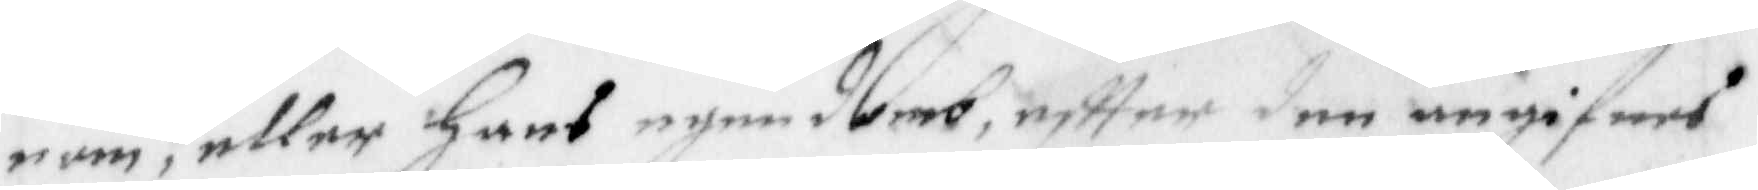n om, eller hans egendomb, effter den angifwes
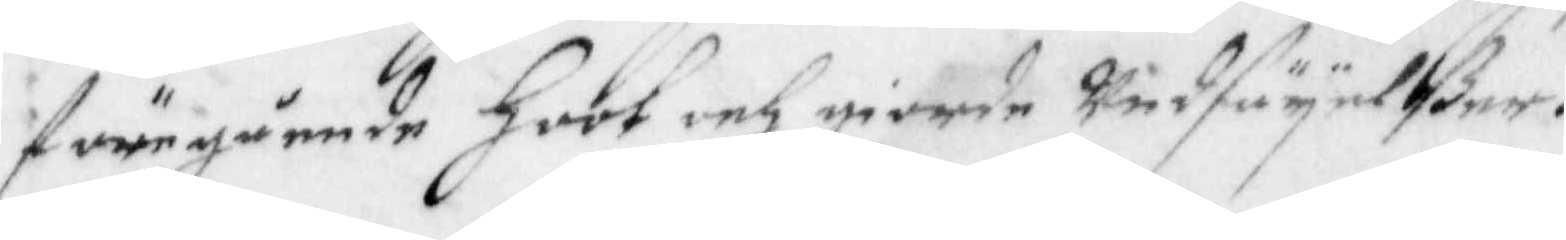föregående hoot och giorde undsägelßer.
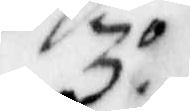3.o
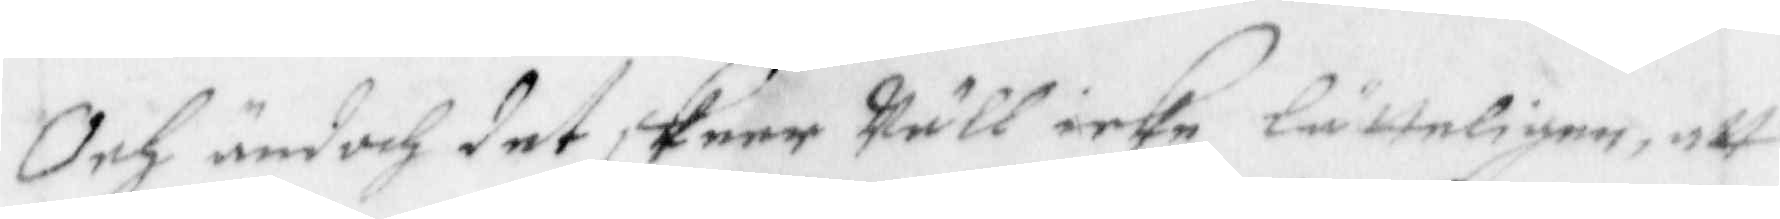Och ändoch det skeer Wäll icke lätteligen, att
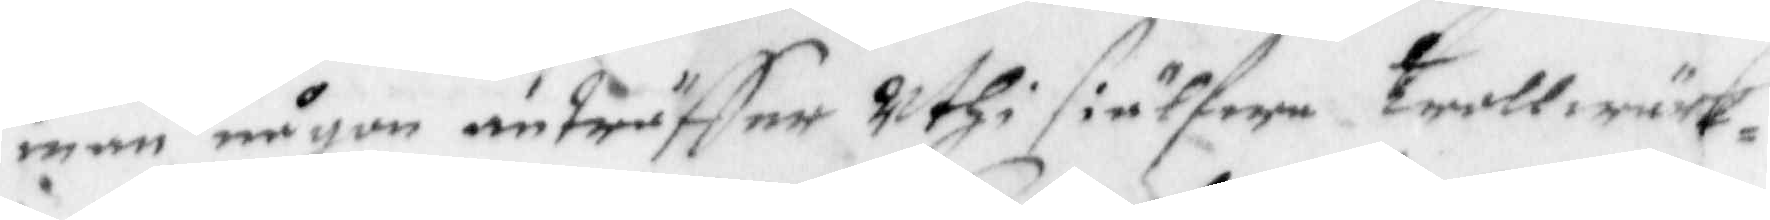man någon anträffer Uthi siälfwa trollwärk¬
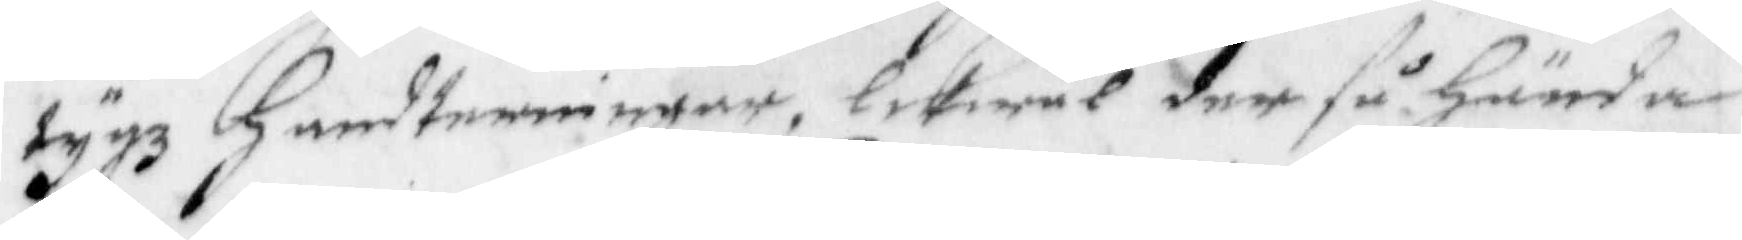tygz handteringar, likwäl der så hända
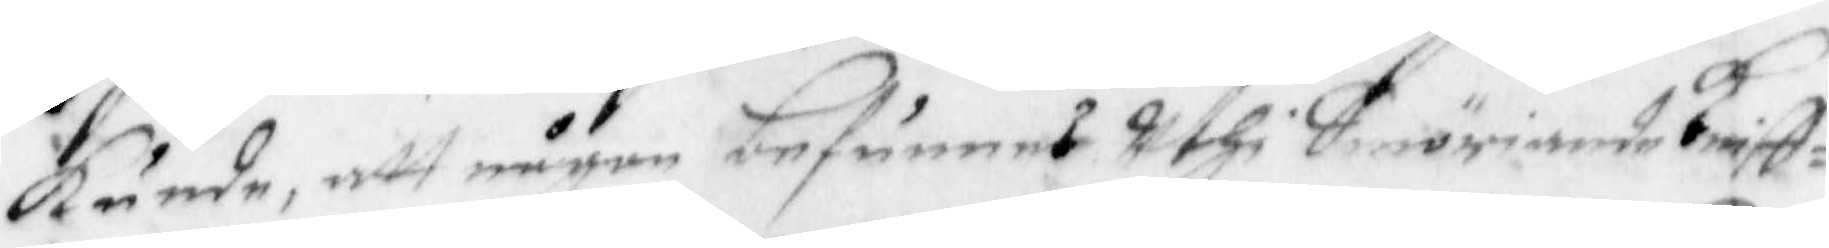kunde, att någon befunnes Uthi Smöriande Kniff¬
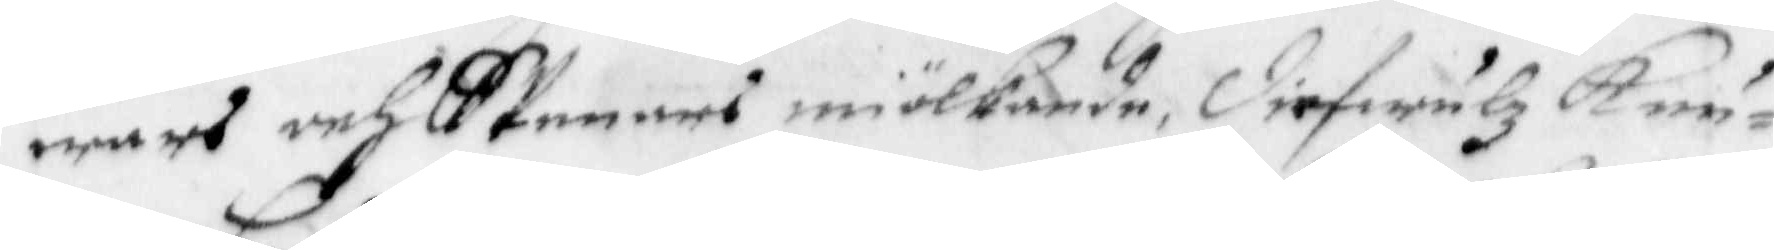wars och Spenars miölkande, diefwulz knu¬
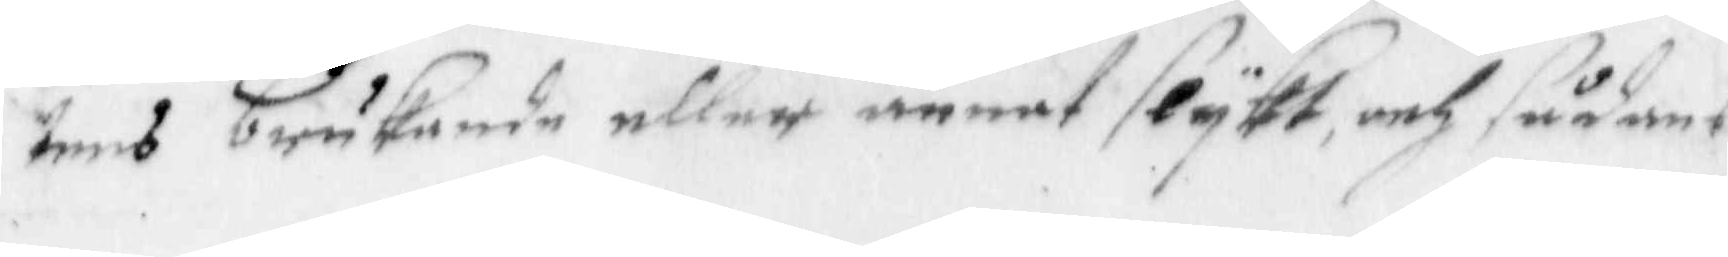tens brukande eller annat slykt och sådant
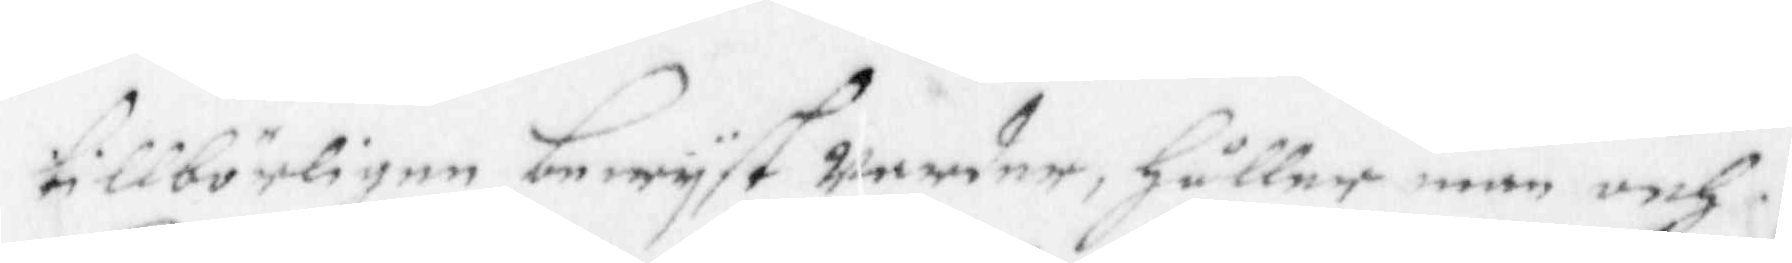tillbörligen bewyst warder, håller man och
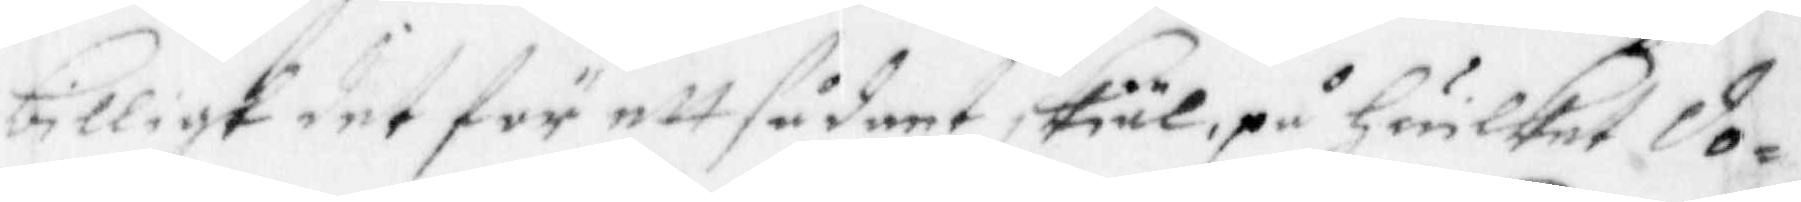billigt det för ett sådant skiäl, på huilket do¬
